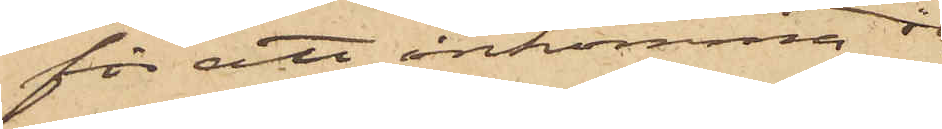för att inkomma i
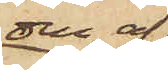den af
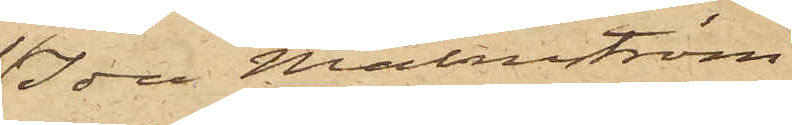Ida Malmström
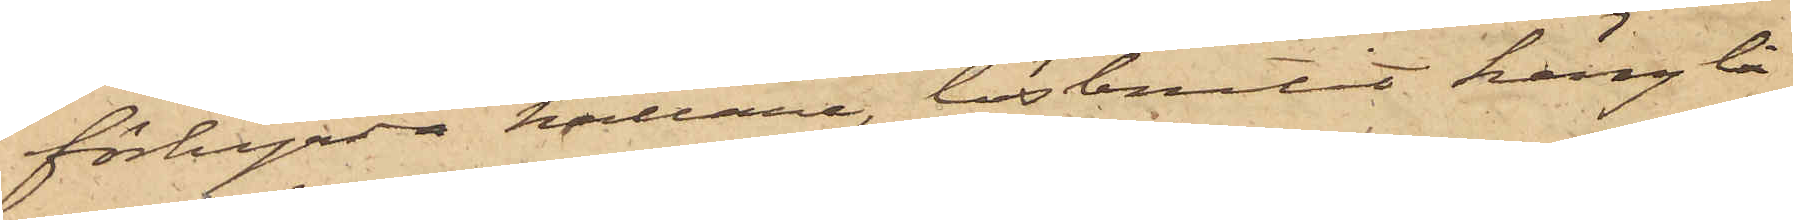förhyrda källare, lösbrutit hänglå¬
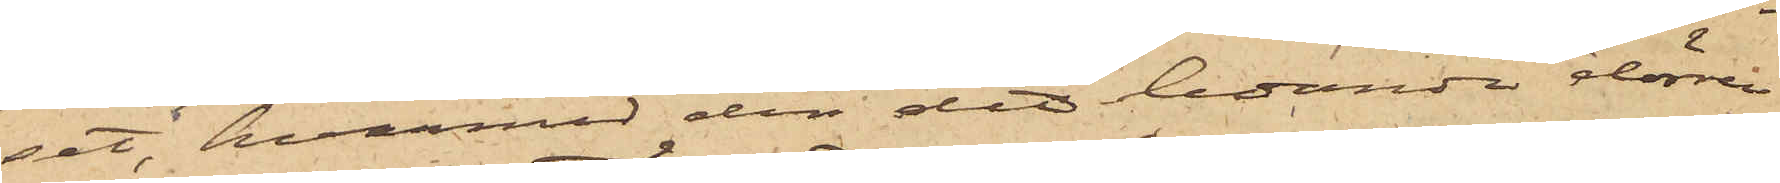set, hvarmed den dit ledande dörren
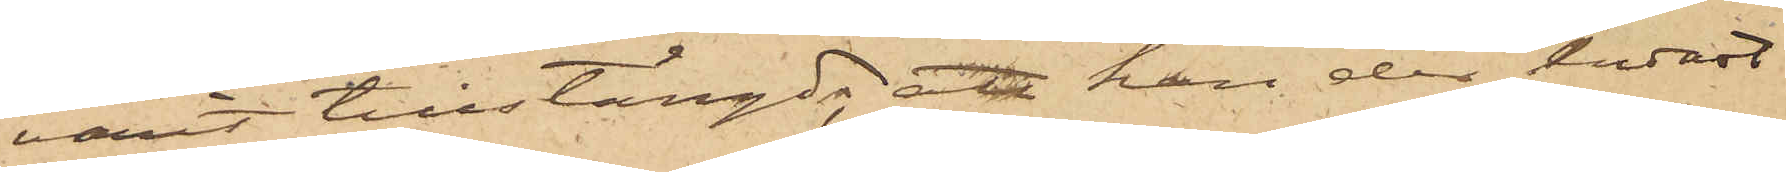varit tillstängd; att han der endast
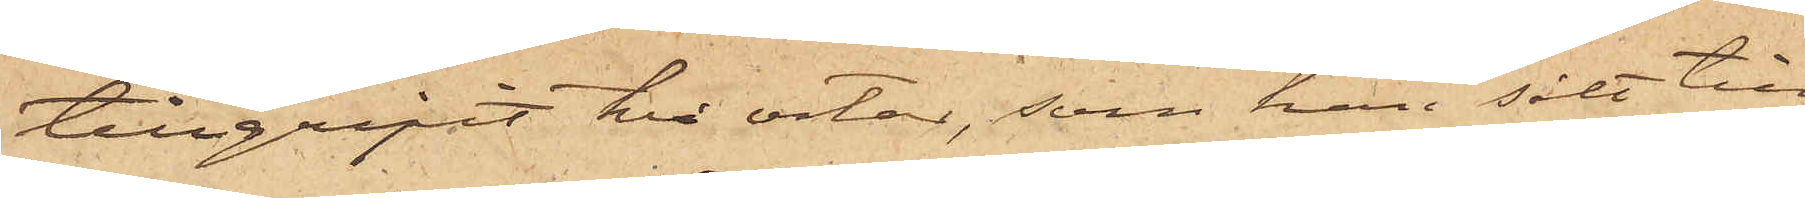tillgripit två ostar, som han sålt till
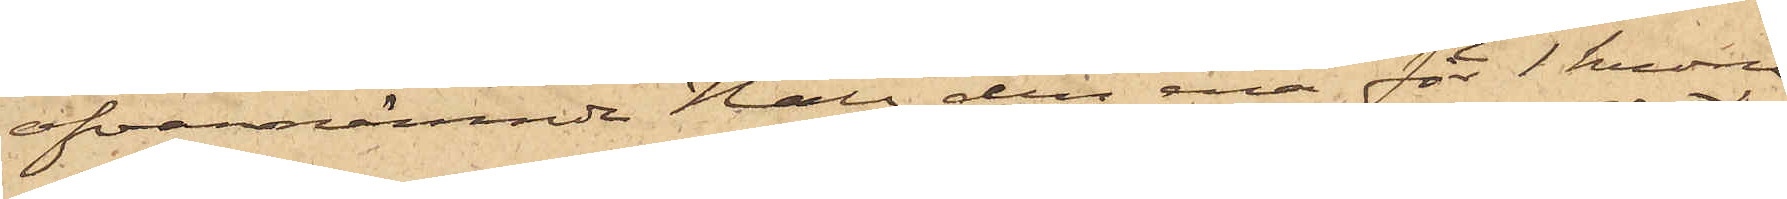ofvannämnde Hall, den ena för 1 krona
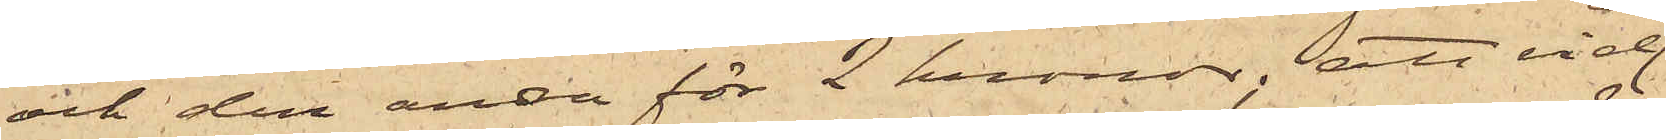och den andra för 2 kronor; att vid
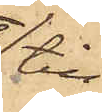till¬
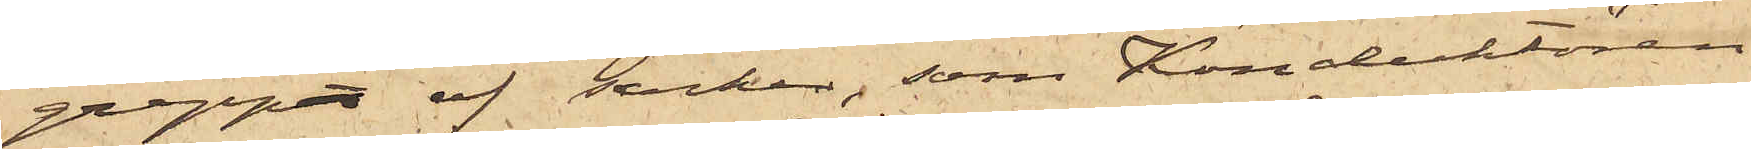grepp af socker, som Konduktören
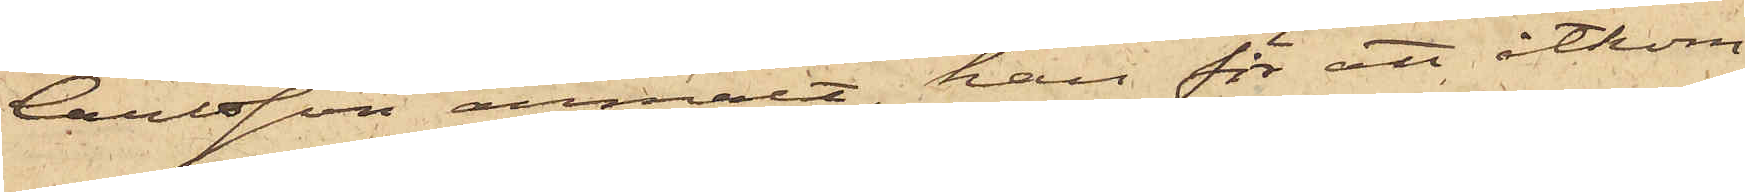Carlsson anmält, han för att åtkom¬
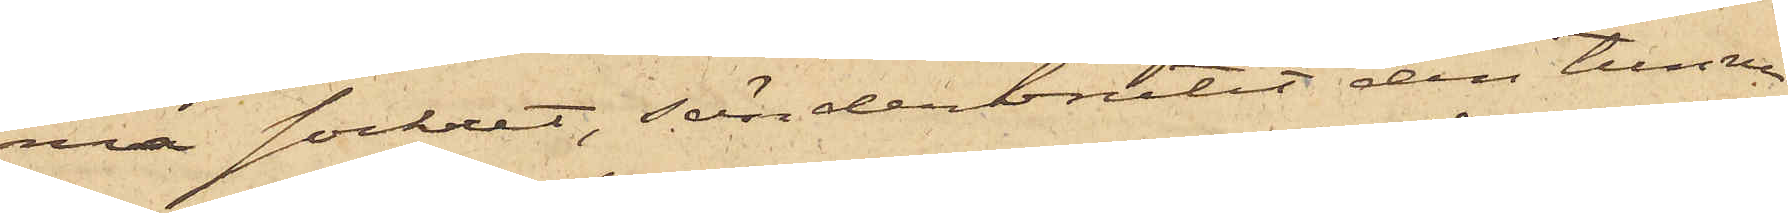na sockret, sönderbrutit den tunna
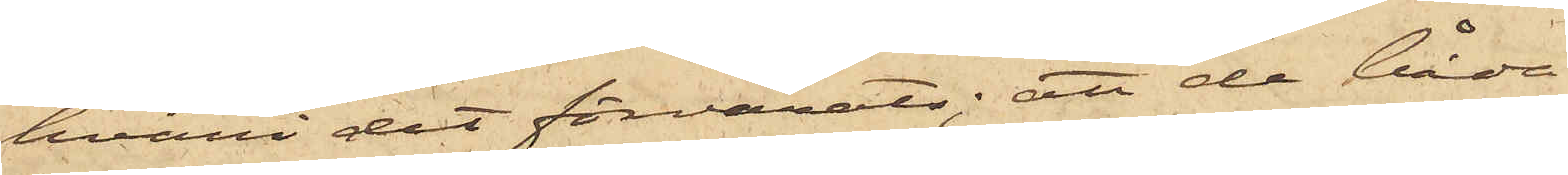hvari det förvarats; att de båda
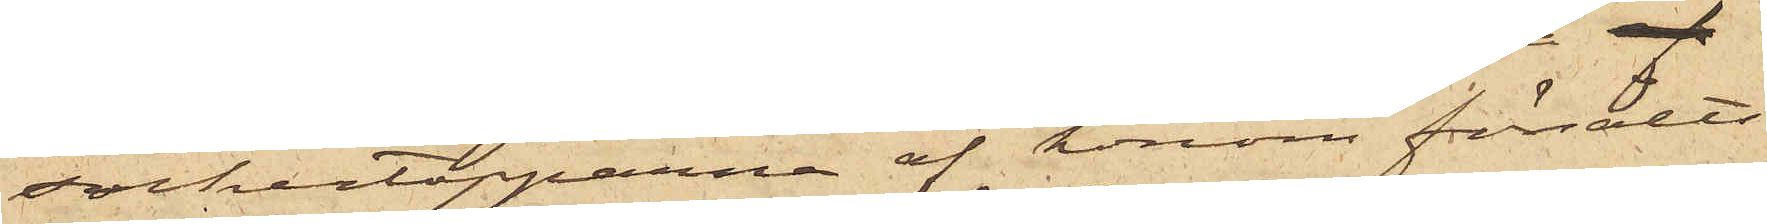sockertopparna af honom försålts
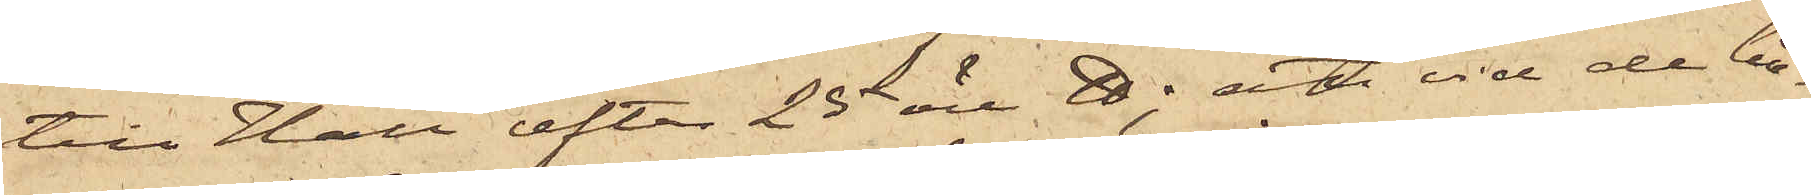till Hall efter 25 öre ℔; att vid de bå¬
